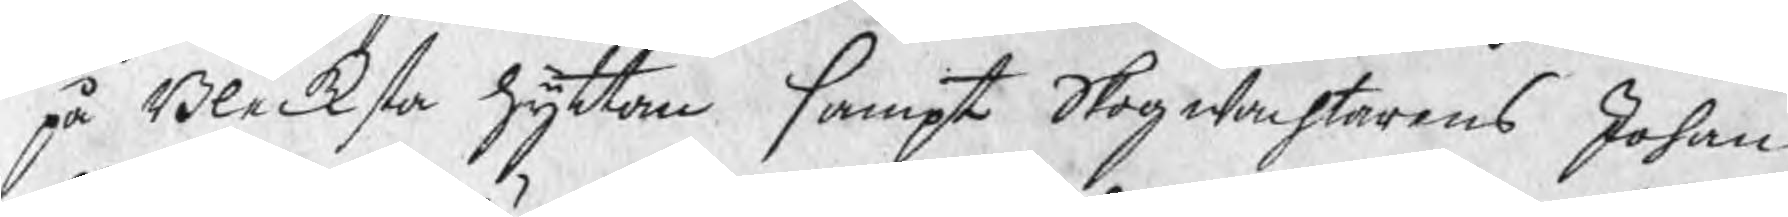på Blecksta hyttan sampt Skogwachtarens Johan
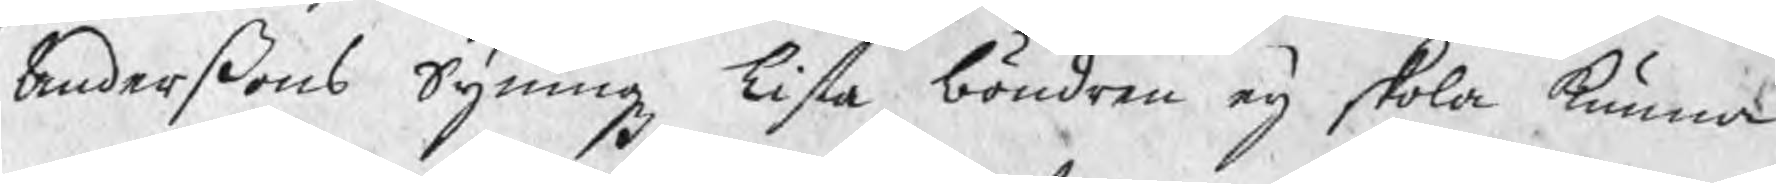Anderßons Syningz Lista böndren eij skola kunna
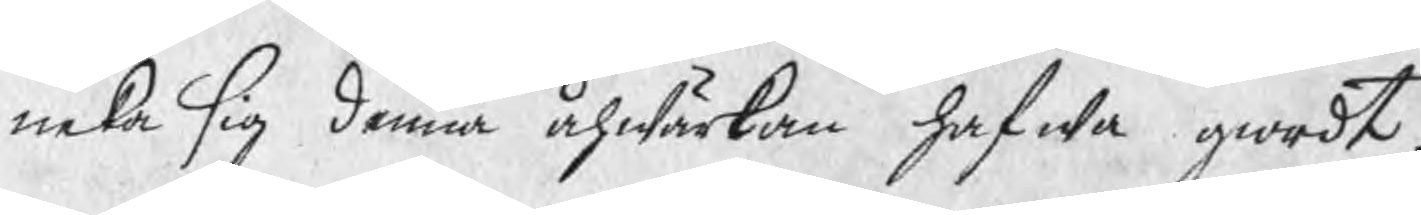neka sig denna åhwärkan hafwa giordt.
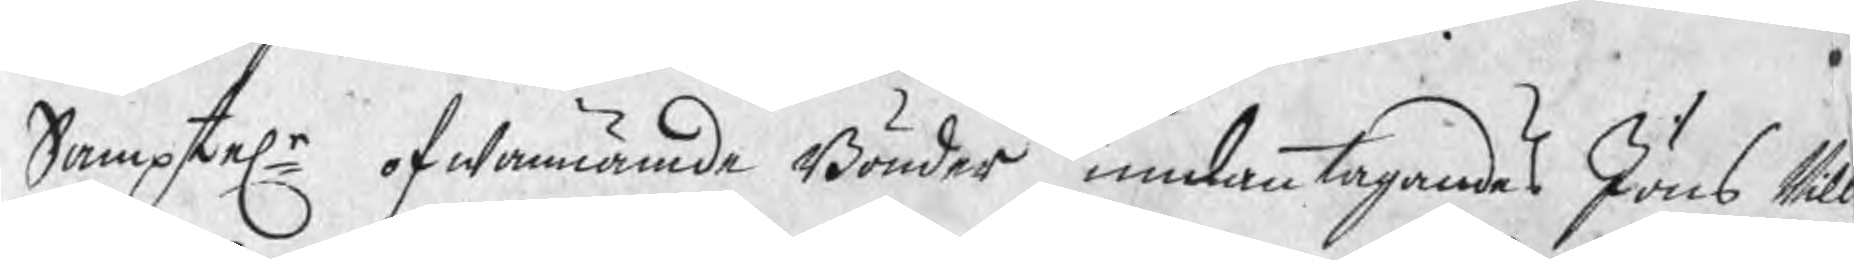Samptele ofwannämde Bönder undantagandes Jöns Nill
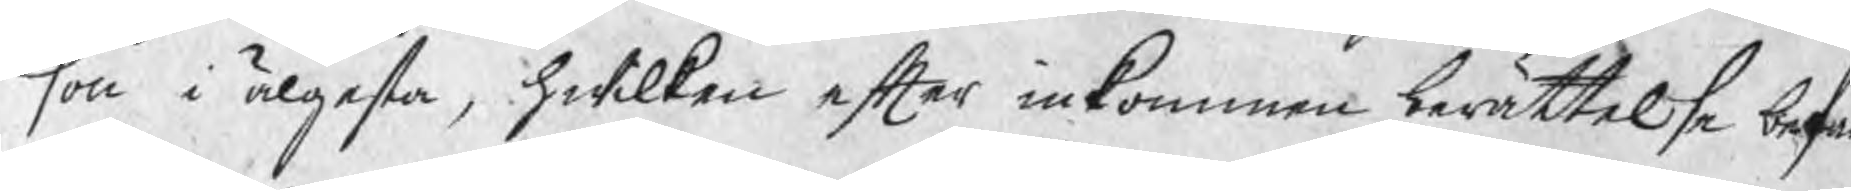son i älgesta, hwilken efter inkommen berättelse befa
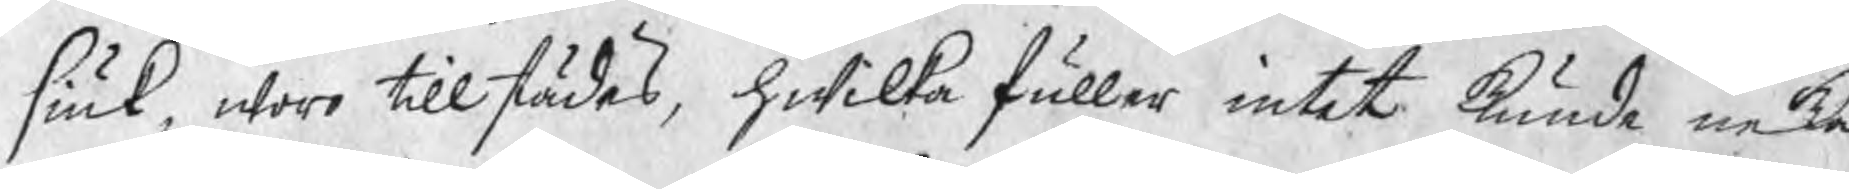siuk, woro tillstädes, hwilka fuller intet kunde neka
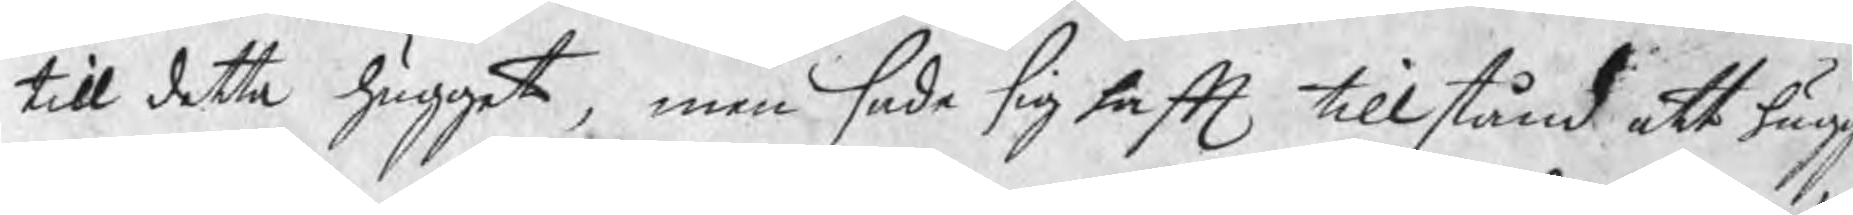till detta hugget, men sade sig haft tillstånd att hugg
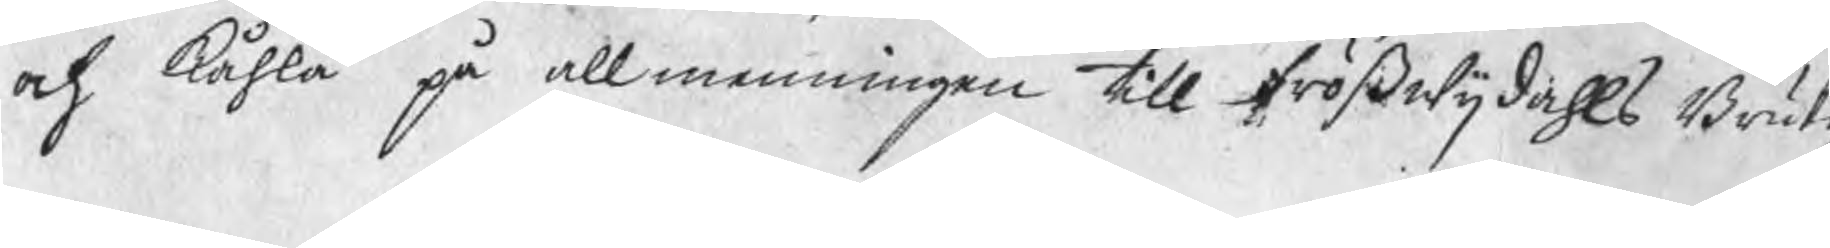och kåhla på allmenningen till frößwijdahls Brukz
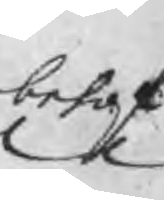behof
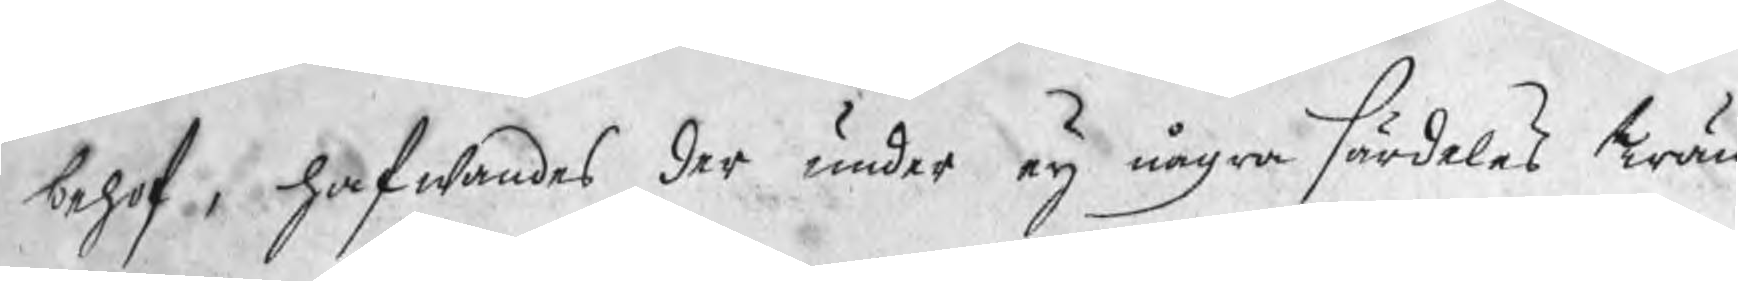behof, hafwandes der under eij några särdeles Trän
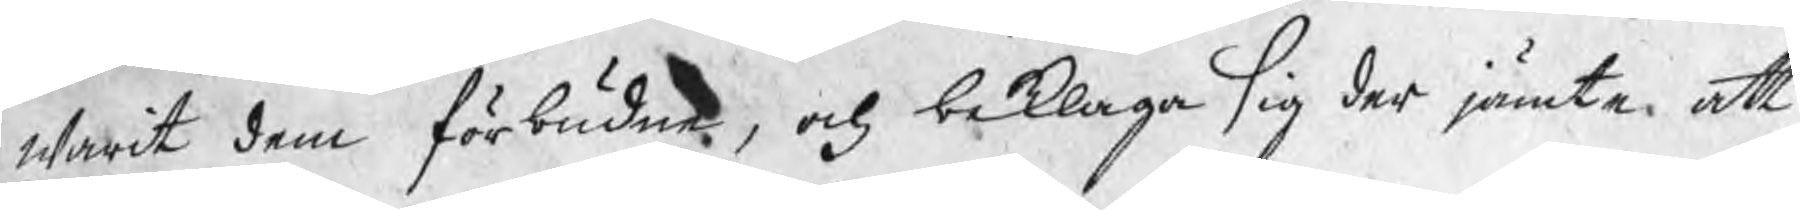warit dem förbudne, och beklaga sig der jämte, att
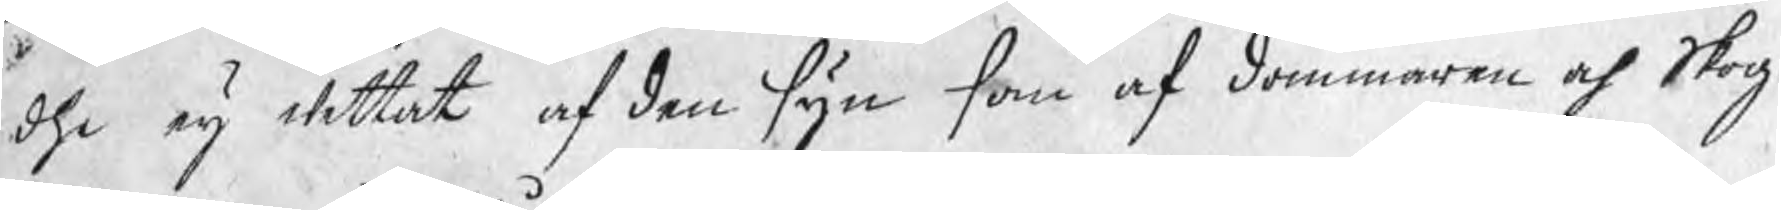dhe eij wettat af den syn som af dommaren och Skog¬
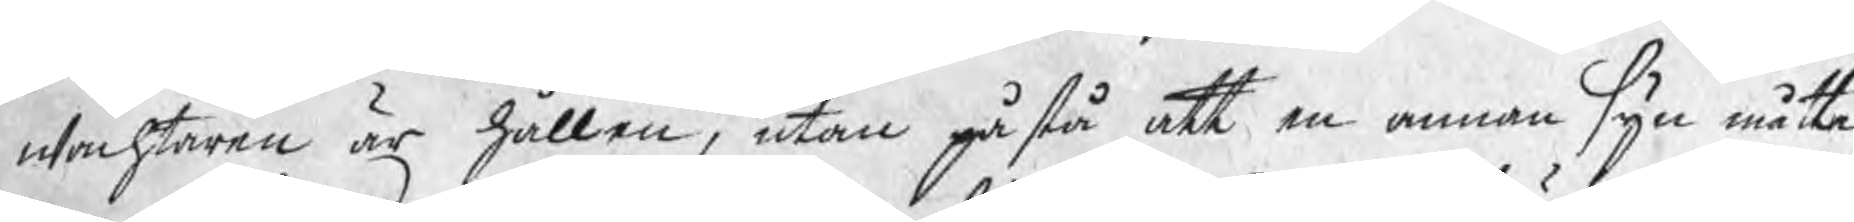wachtaren är hållen, utan påstå att en annan syn måtte
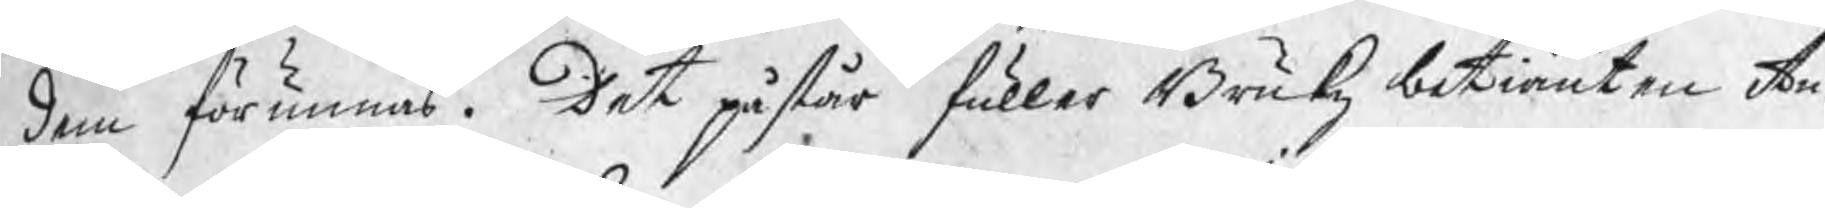dem förunnas. Det påstår fuller Brukz betiänten An¬
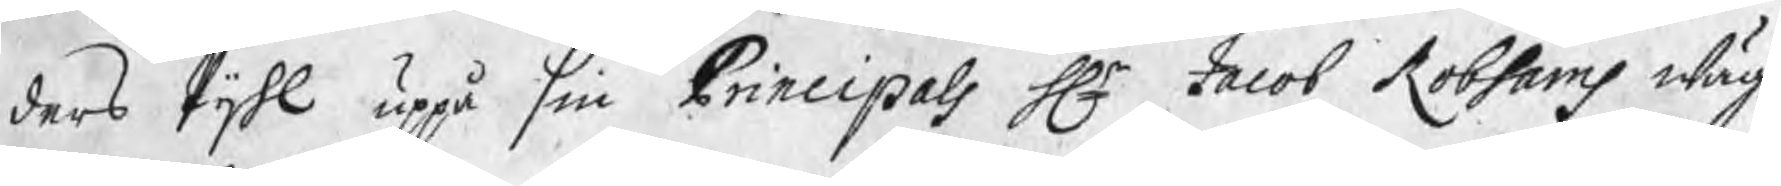ders Pijhl uppå sin Principals Hr Jacob Robsams wäg¬
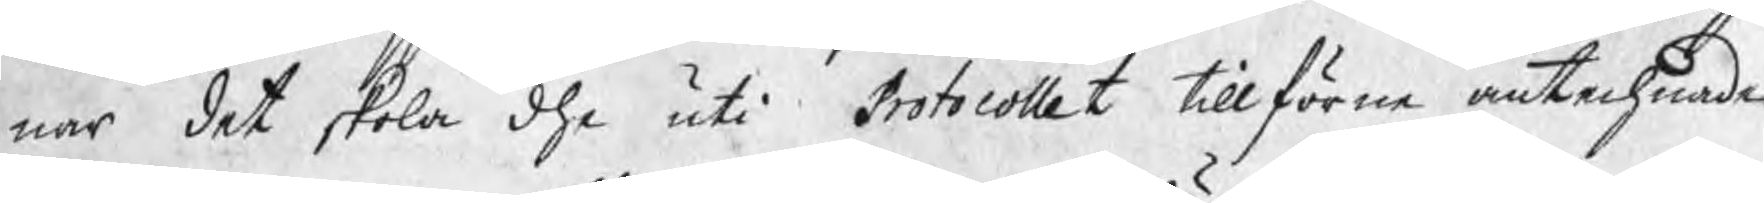nar det skola dhe uti Protocollet tillförne antechnade
